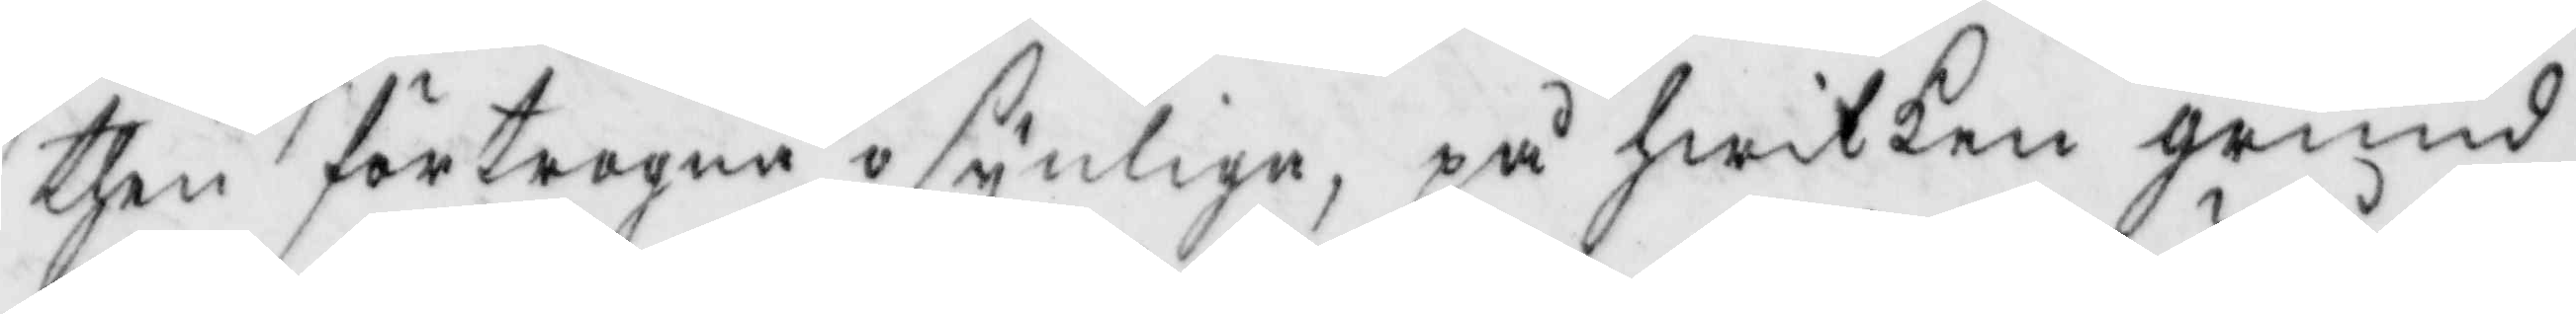then förtrogne osynlige, på hwilken grund
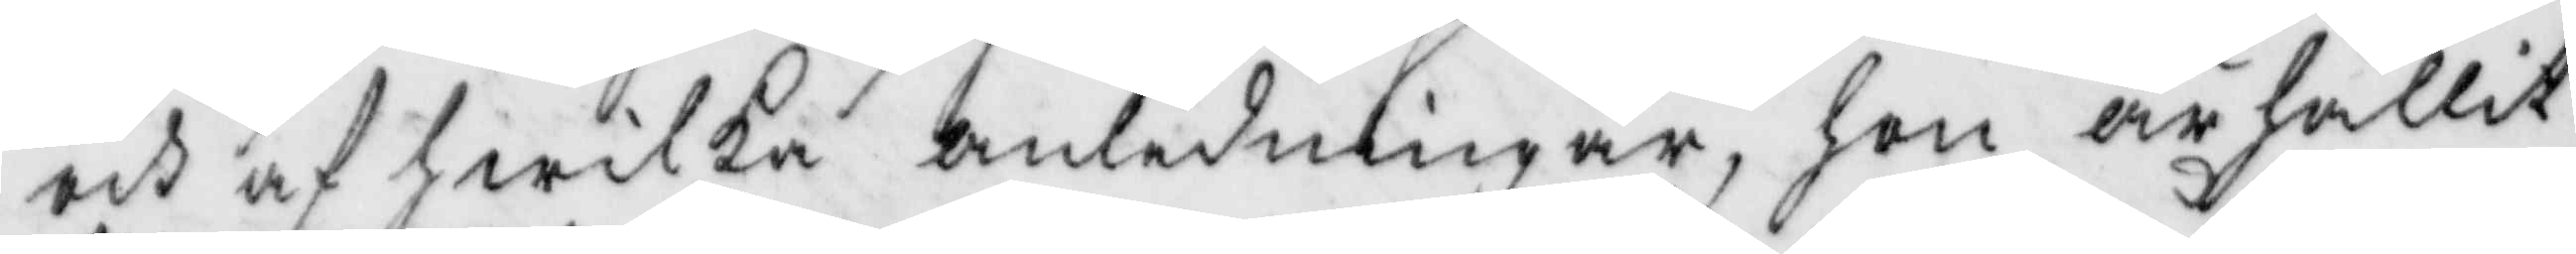och af wilka anldeningar, hon ärhållit
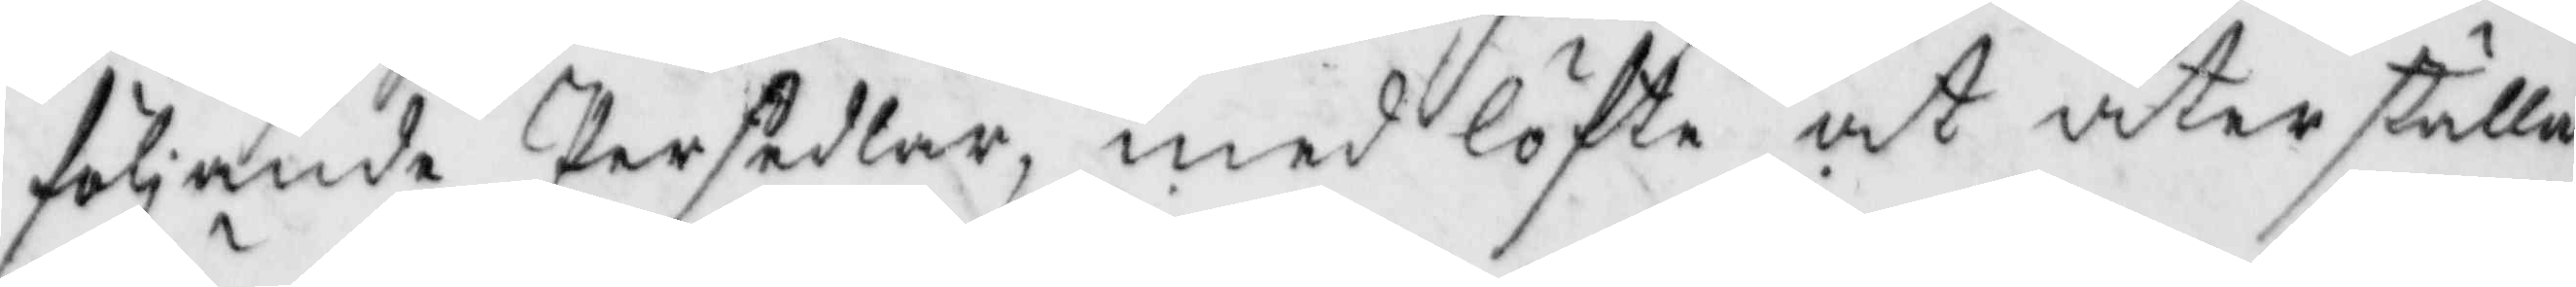följande Persedlar, med löfte at återställa
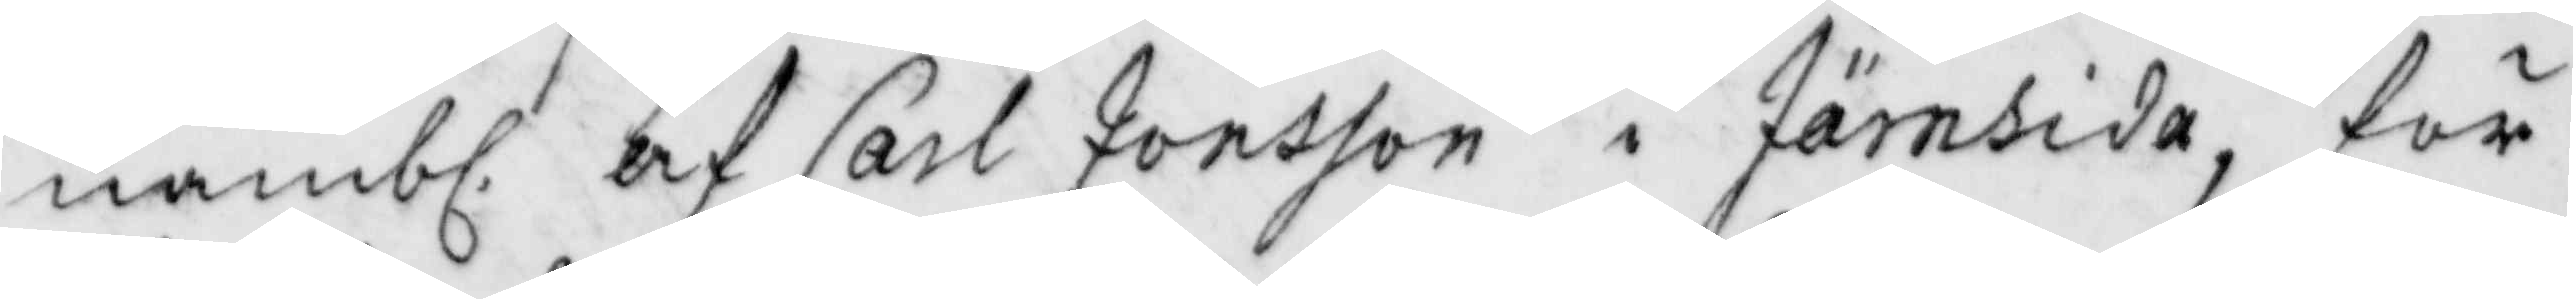nämbl. af Carl Jonsson i Järnsida, för
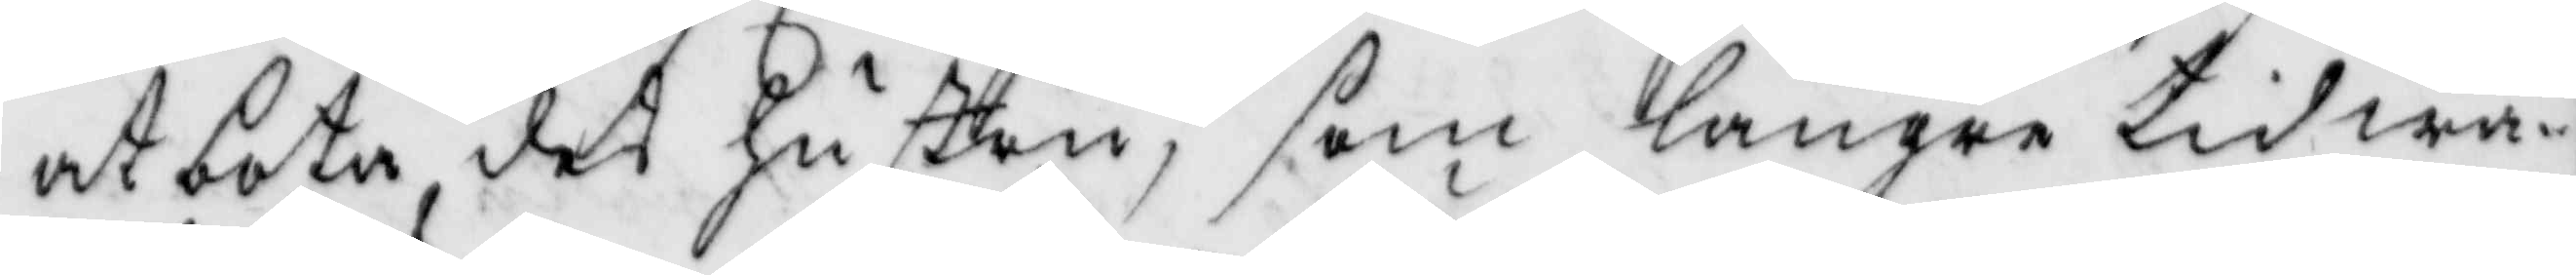at bota des hustru, som längre tid wa¬
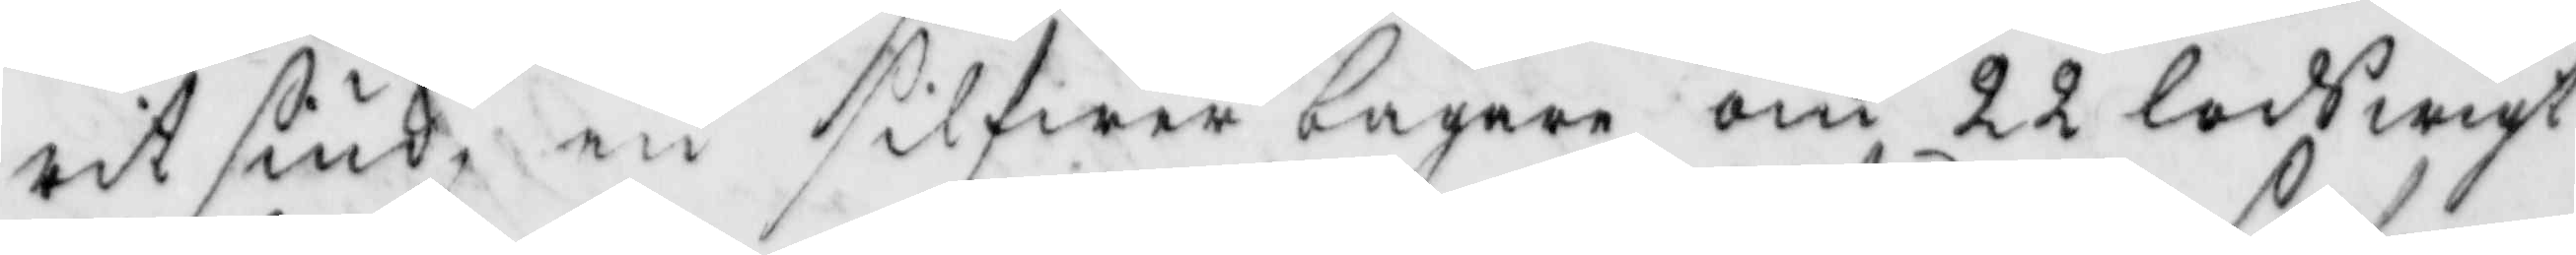rit siuk, en silfwerbägare om 22 lods wigt
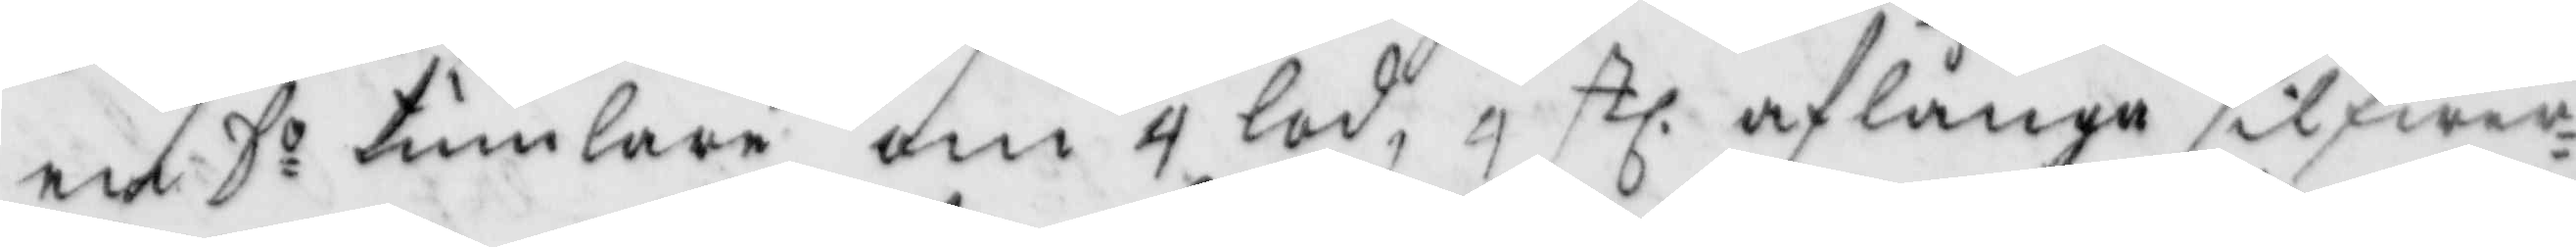en So tumlare om 4 lod, 4 stl. aflånga silfwer¬
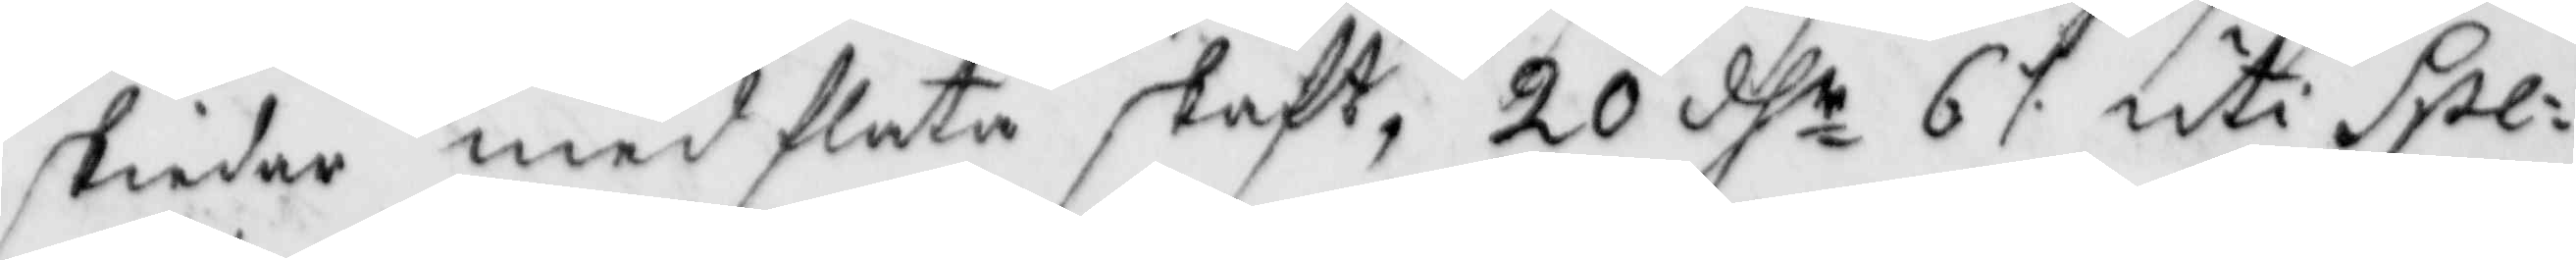skiedar med flata skaft, 20 dhr 6 ./. uti Spe¬
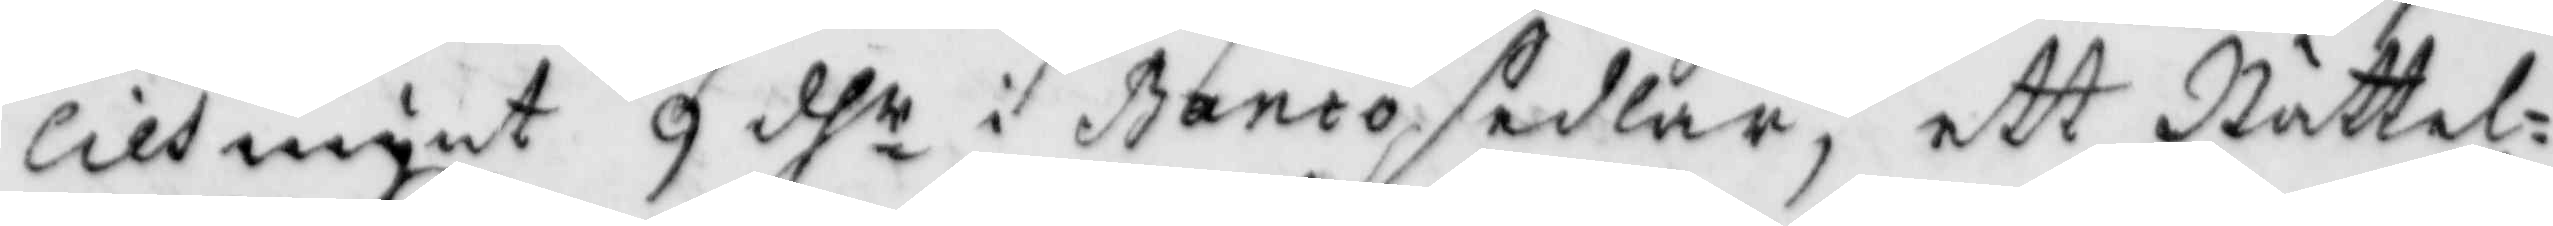ciesmynt 9 dhr i Bancosedlar, ett Nättel¬
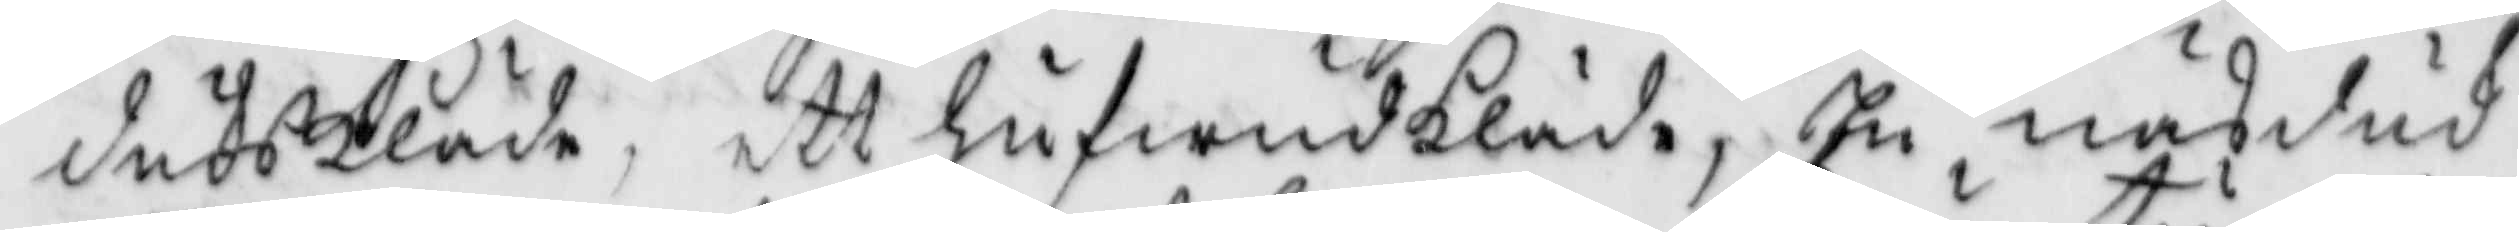dukskläde, ett hufwudkläde, En näsduk
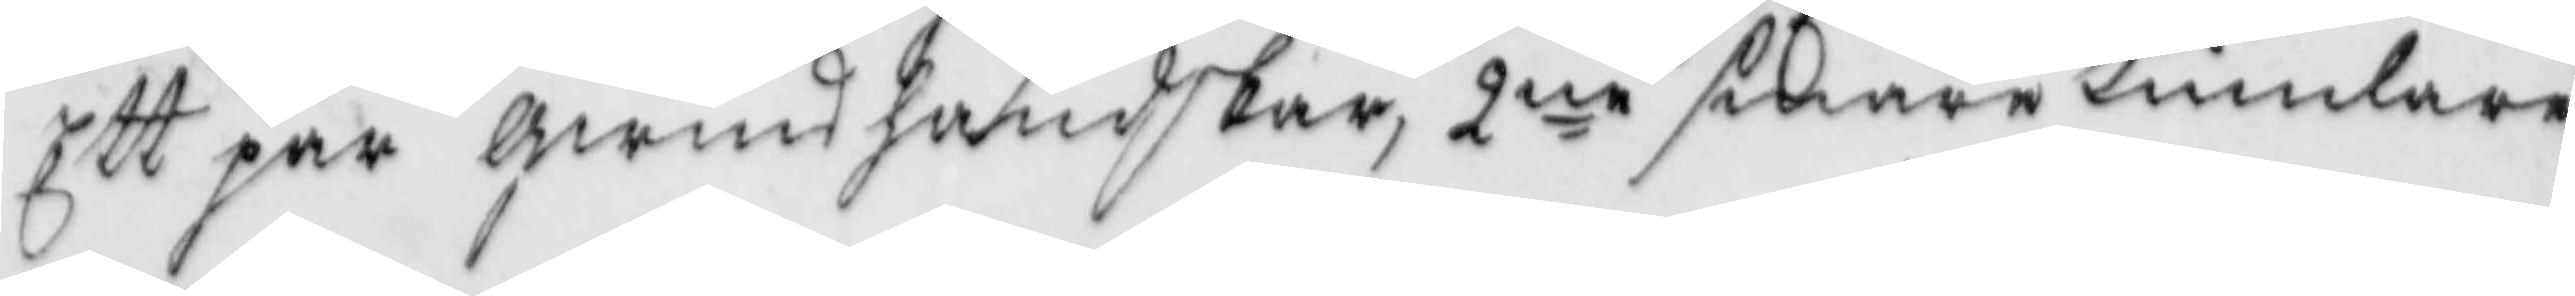ett par qwinshandkar, 2ne smöretumlare
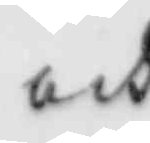och
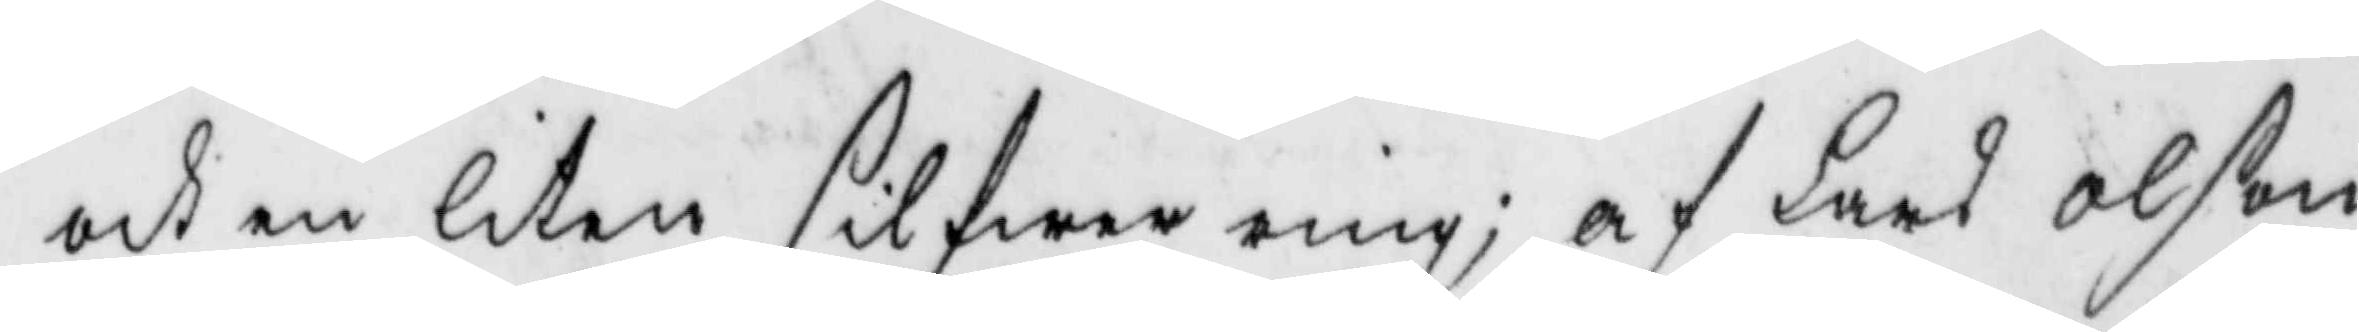och en liten silfwerring; af Lars Olson
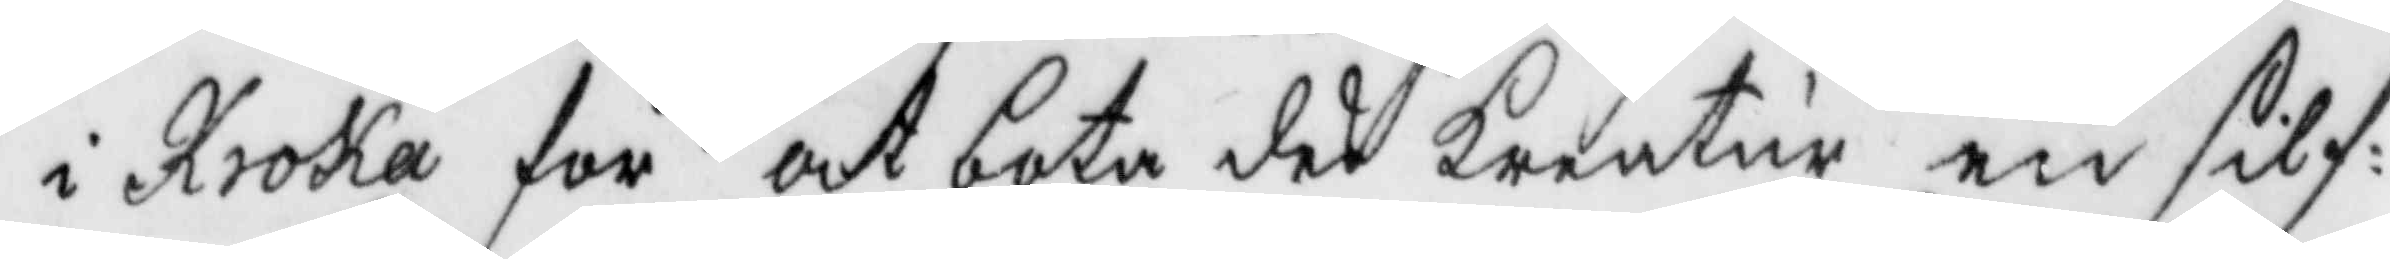i Kroka för att bota des kreatur en silf¬
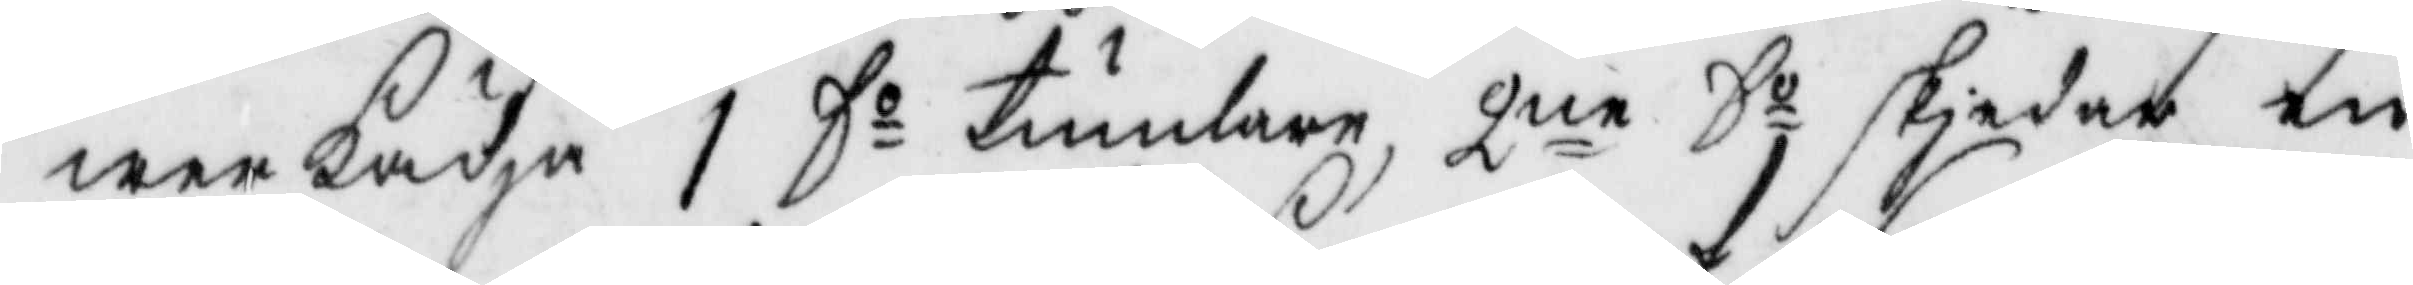werkädja 1 Do tumlare, 2ne Do skiedar en
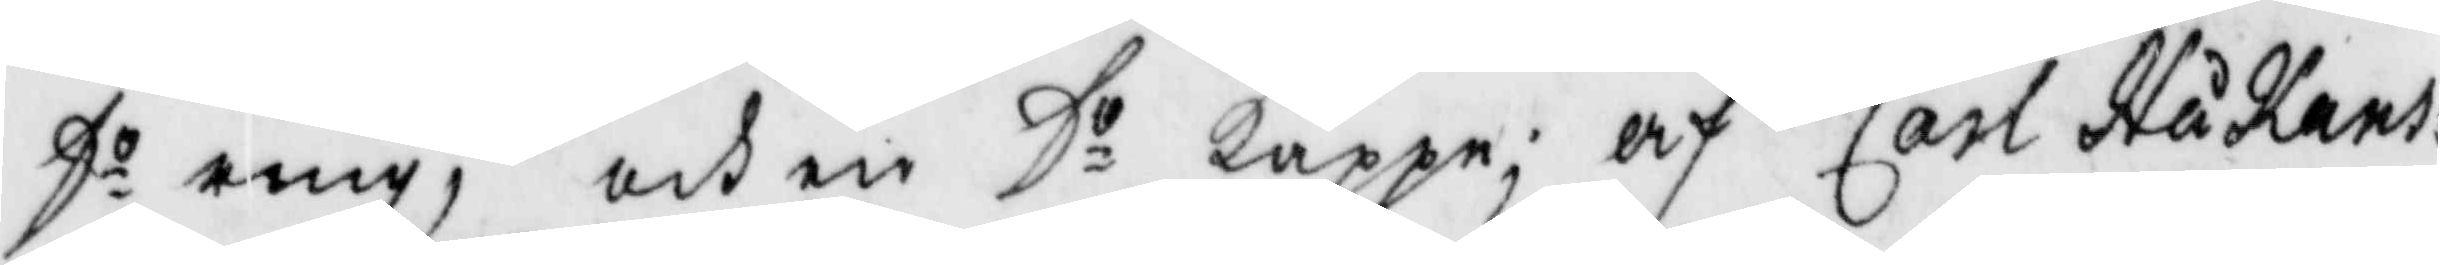D.o ring, och en Do kappe; af Carl Håkans¬
